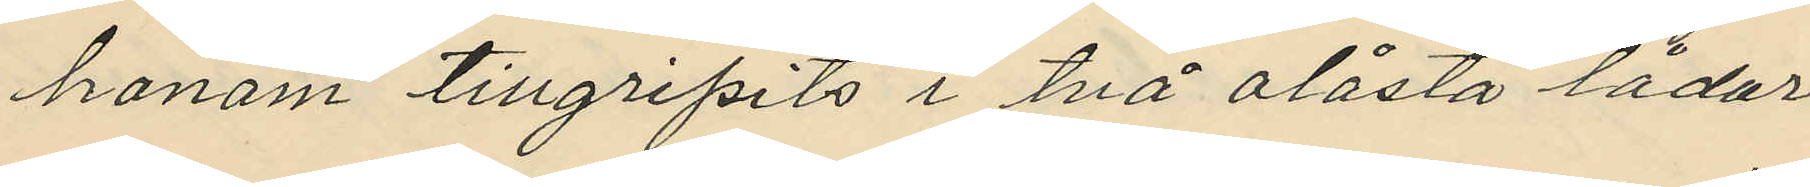honom tillgripits i två olåsta lådor
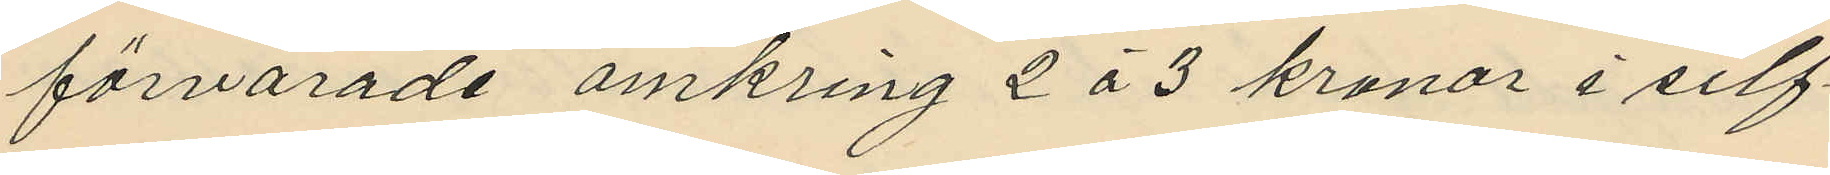förvarade omkring 2 à 3 kronor i silf¬
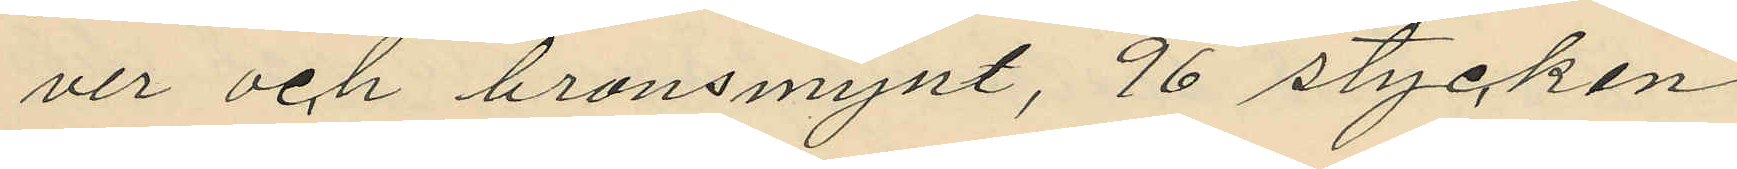ver och bronsmynt, 96 stycken
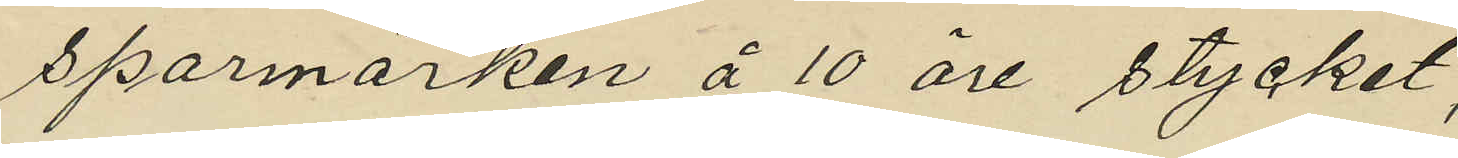sparmärken å 10 öre stycket;
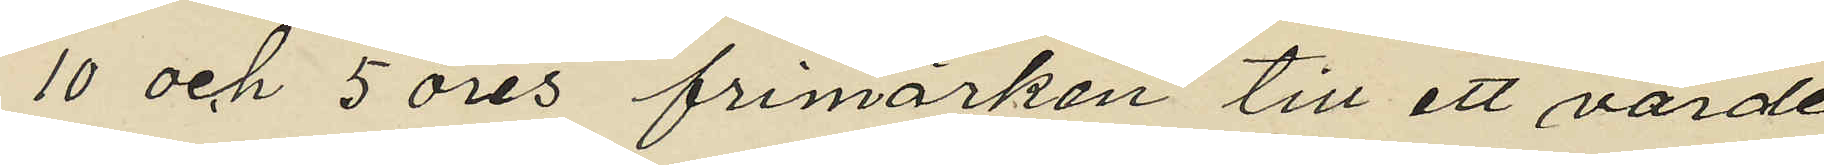10 och 5 öres frimärken till ett värde
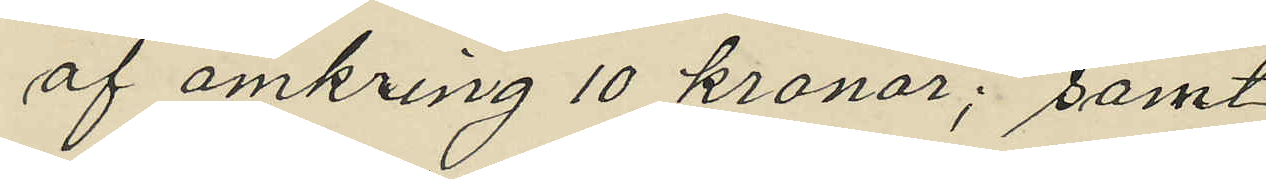af omkring 10 kronor; samt
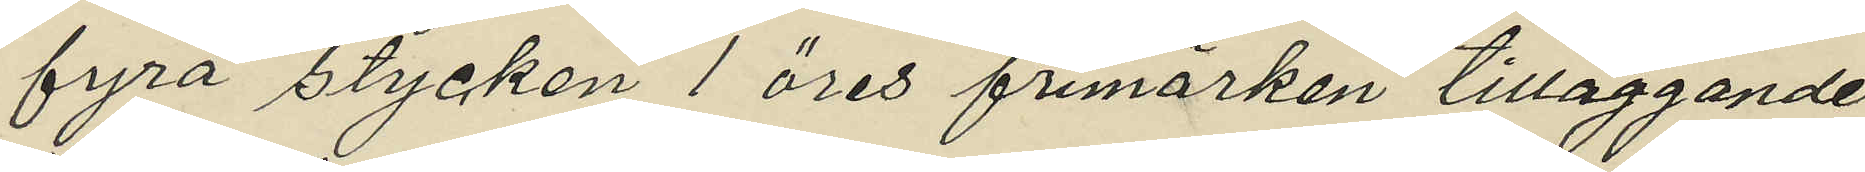fyra stycken 1 öres frimärken tilläggande
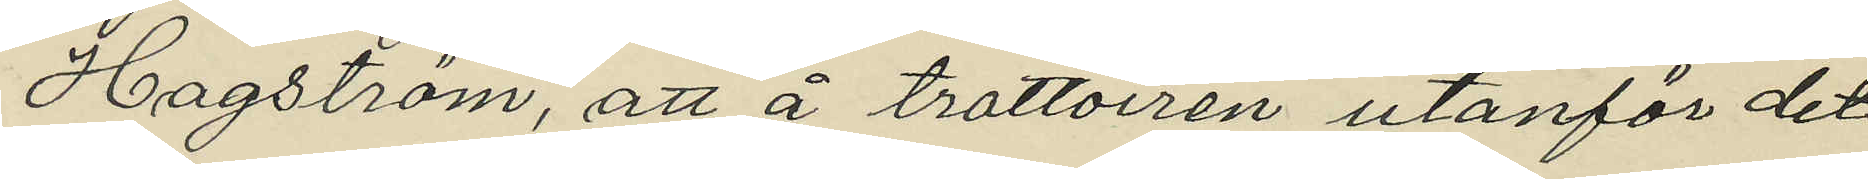Hagström, att å trottoiren utanför det
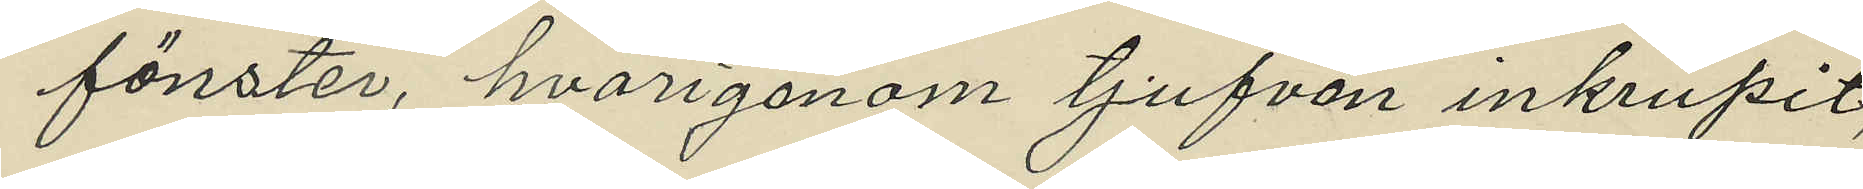fönster, hvarigenom tjufven inkrupit,
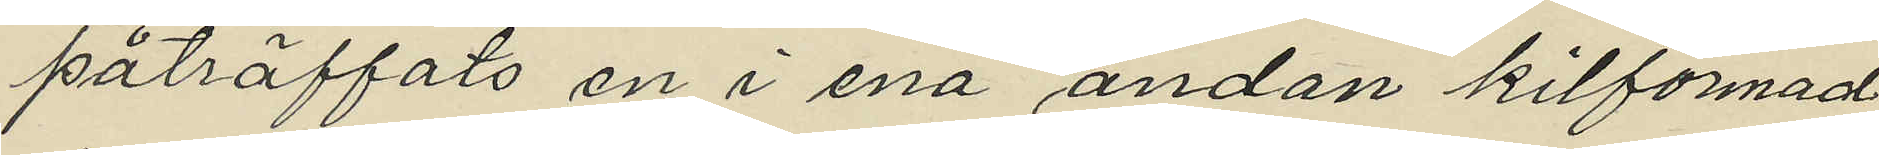påträffats en i ena ändan kilformad
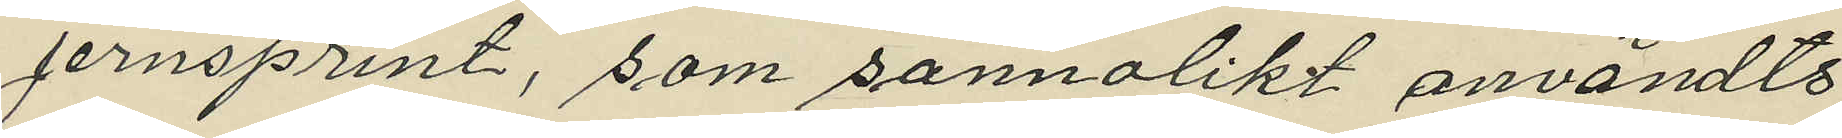jernsprint, som sannolikt användts
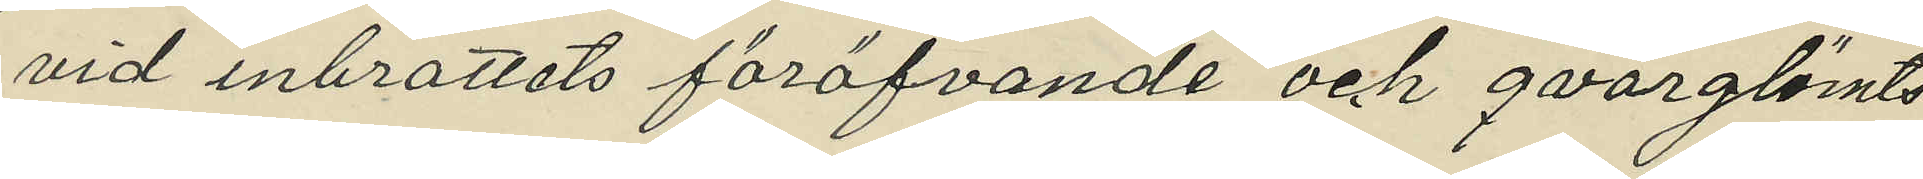vid inbrottets föröfvande och qvarglömts
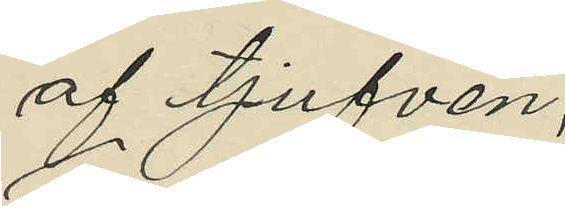af tjufven;
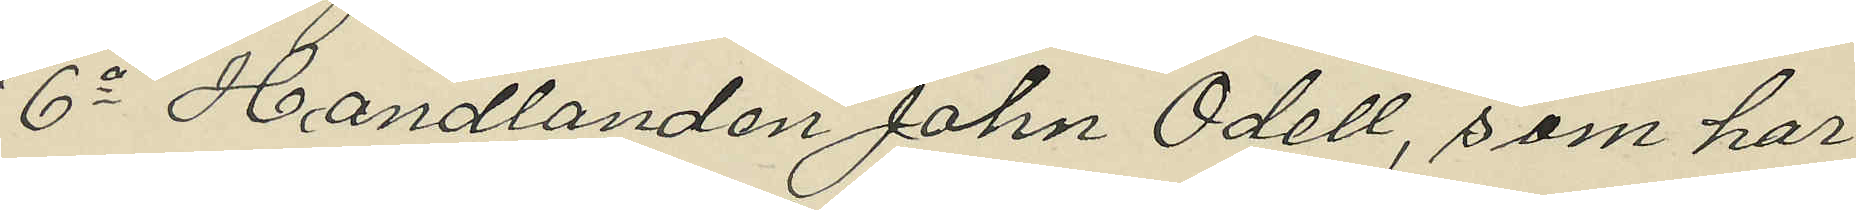6o Handlanden John Odell, som har
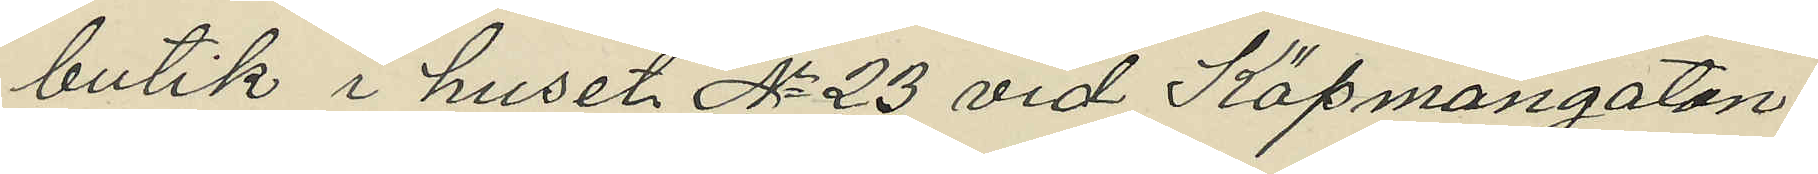butik i huset No 23 vid Köpmangatan,
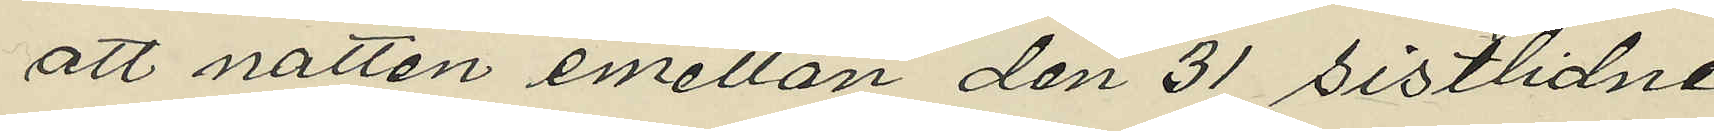att natten emellan den 31 sistlidne
